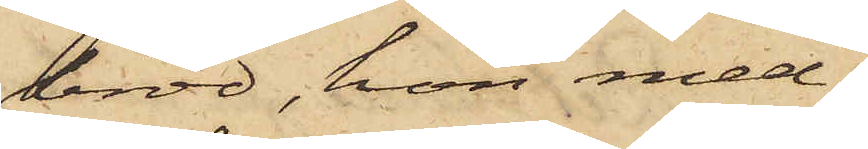bröd, hon med¬
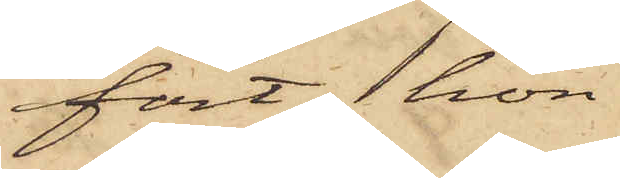fört, hon
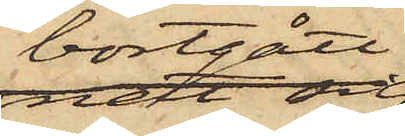bortgått
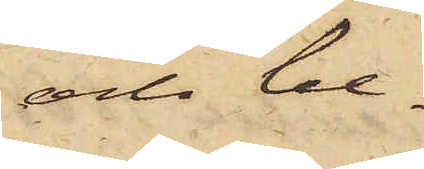och be¬
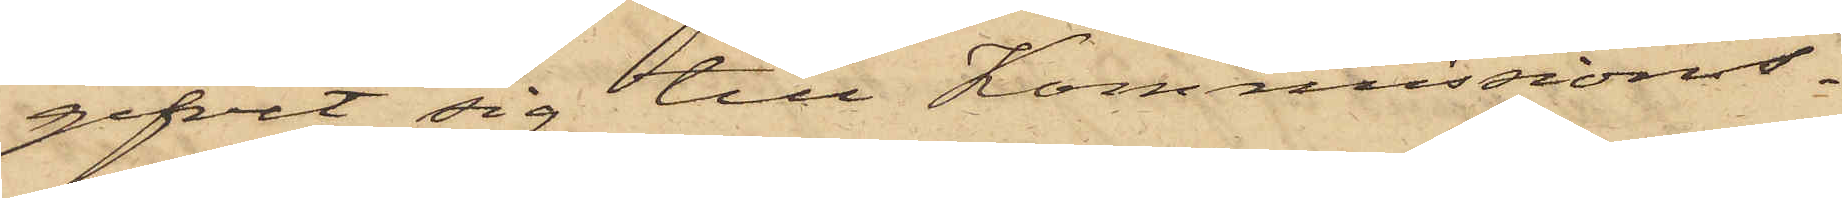gifvit sig till Kommissions¬
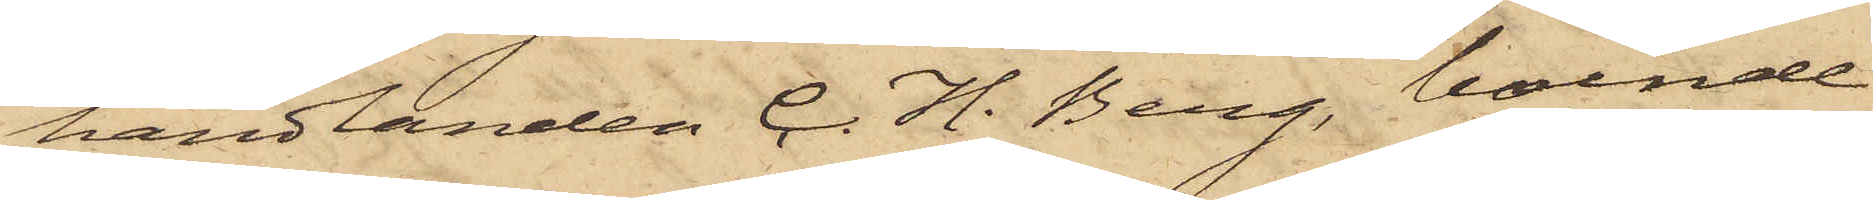handlanden C. H. Berg, boende
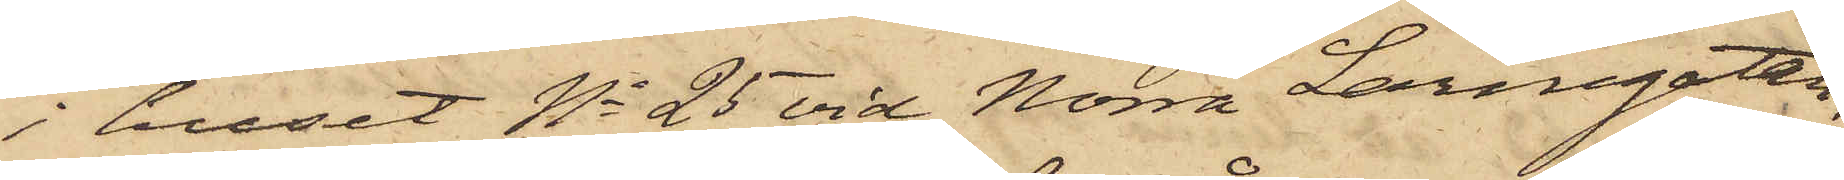i huset No 25 vid Norra Larmgatan,
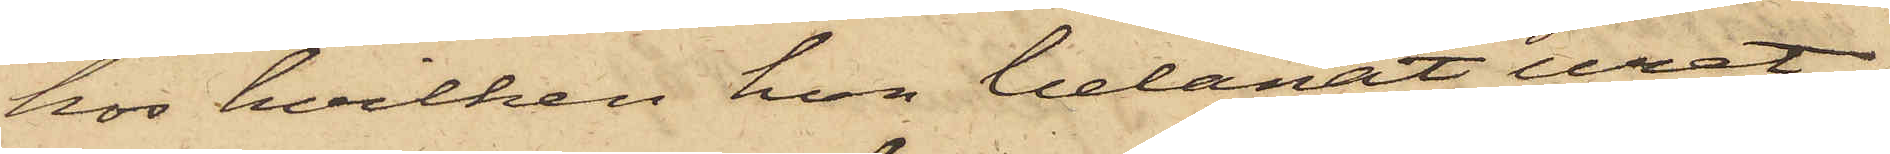hos hvilken hon belånat uret
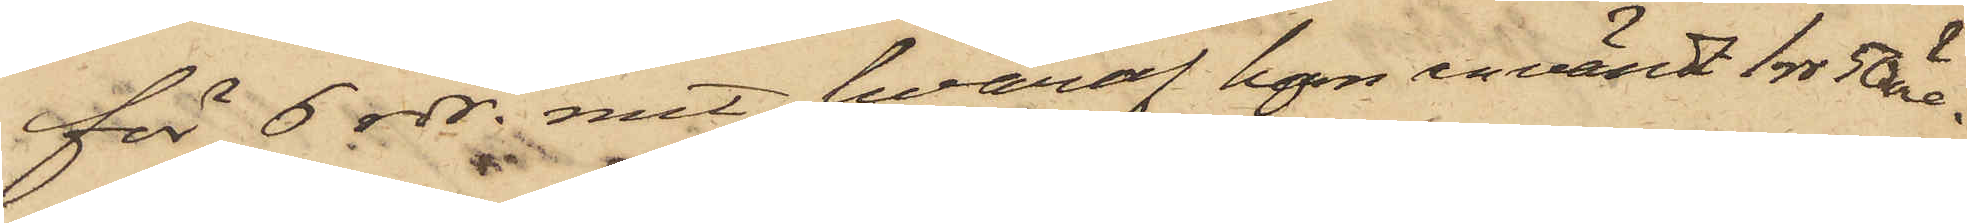för 6 rdr rmt, hvaraf hon användt 1 rdr 50 öre.
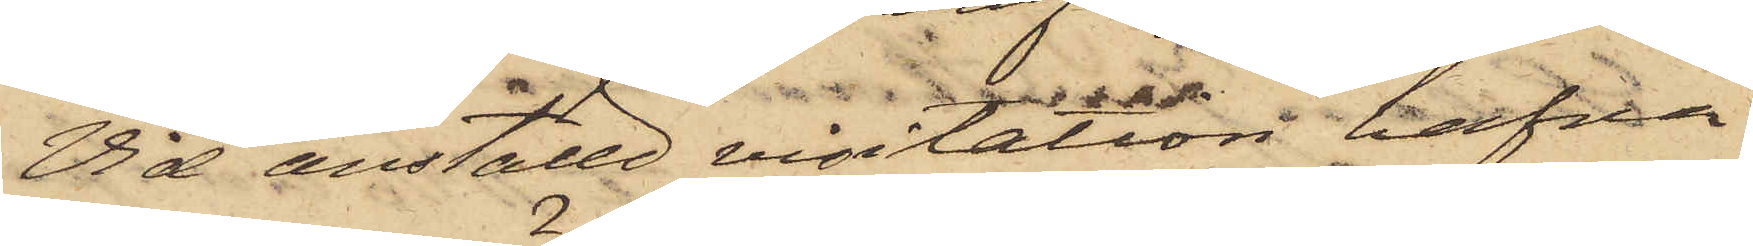Vid anställd visitation hafva
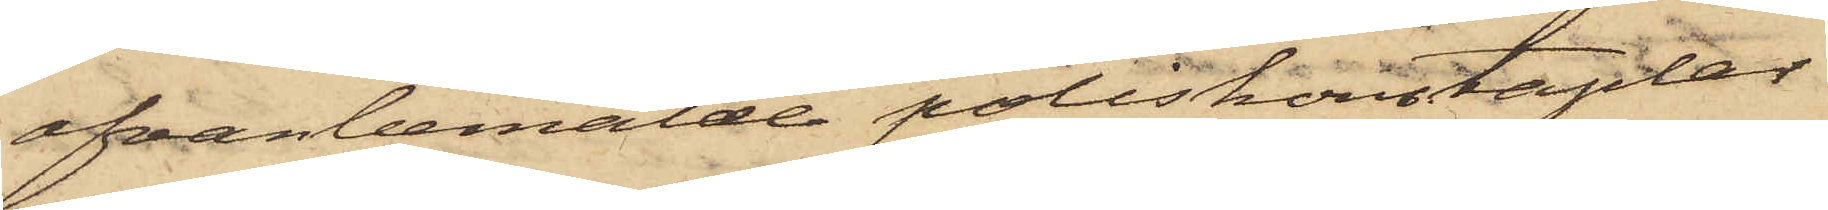ofvanbemälde poliskonstaplar
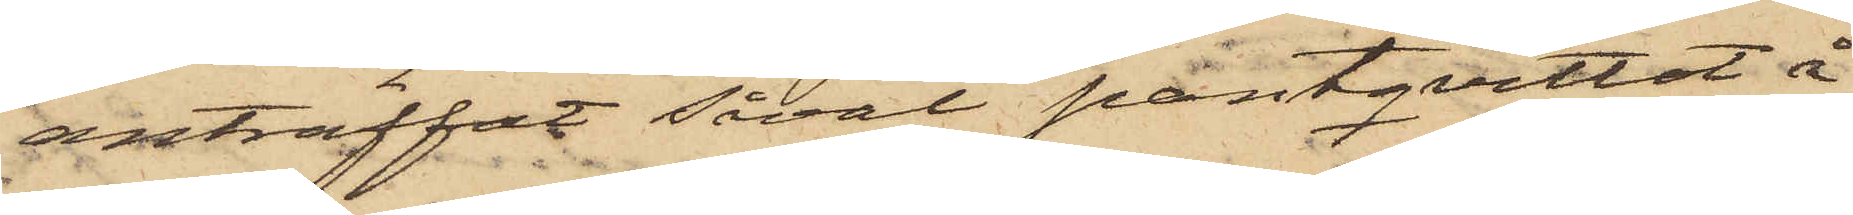anträffat såväl pantqvittot å
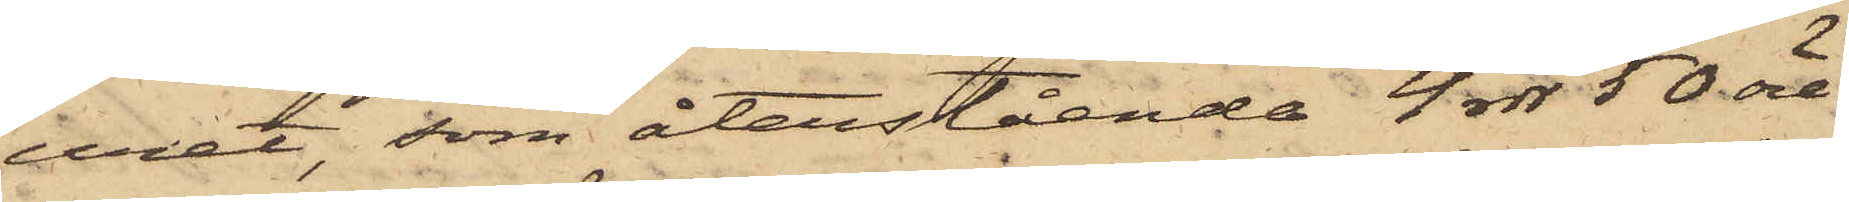uret, som återstående 4 rdr 50 öre
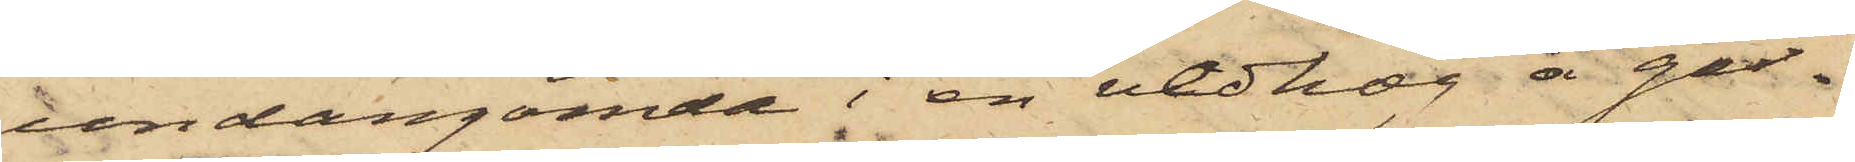undangömde i en vedhög å går¬
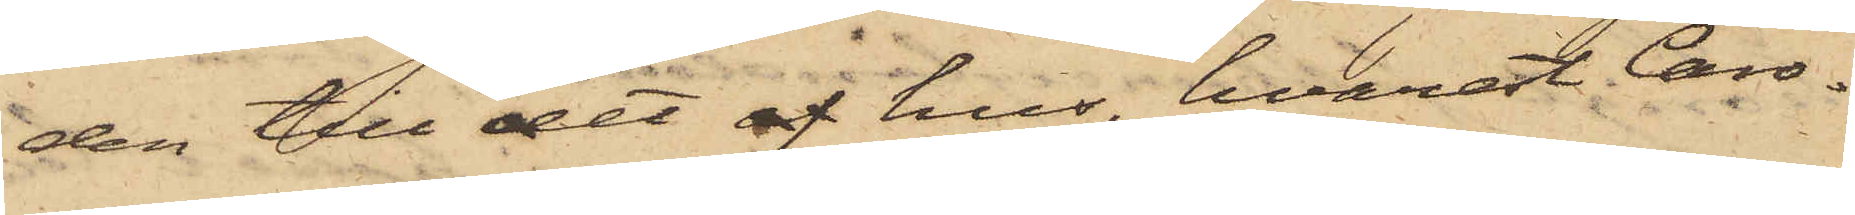den till det af hus, hvarest Caro¬
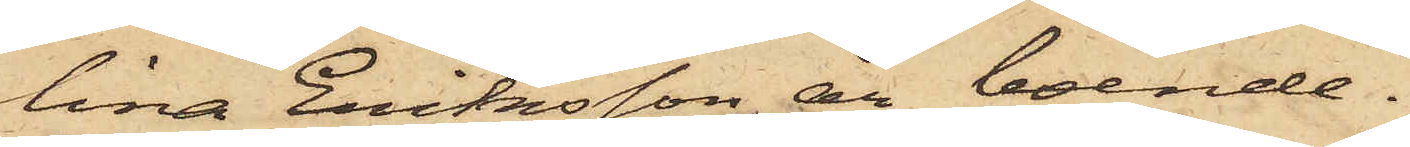lina Eriksson är boende.
